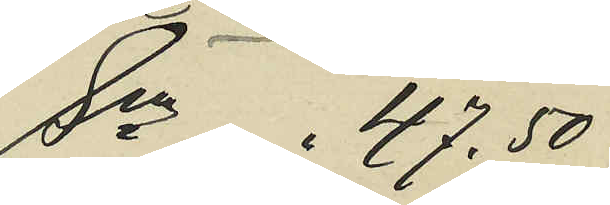Sma .47.50
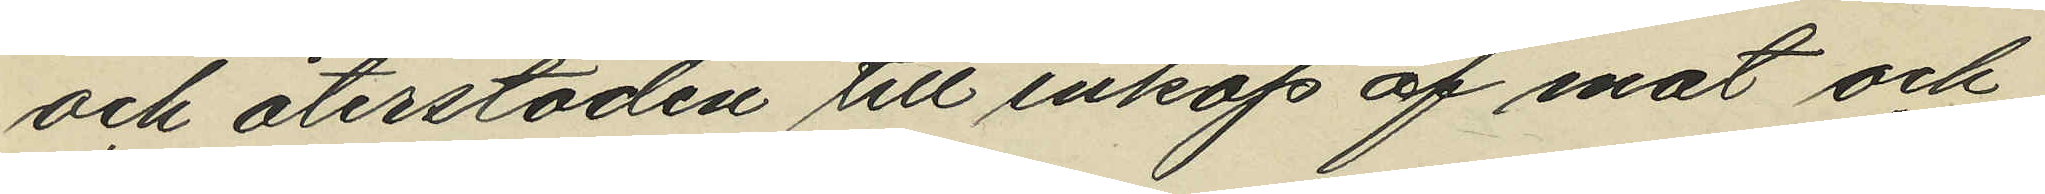och återstoden till inköp af mat och
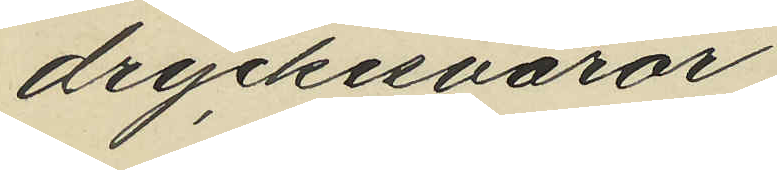dryckesvaror;
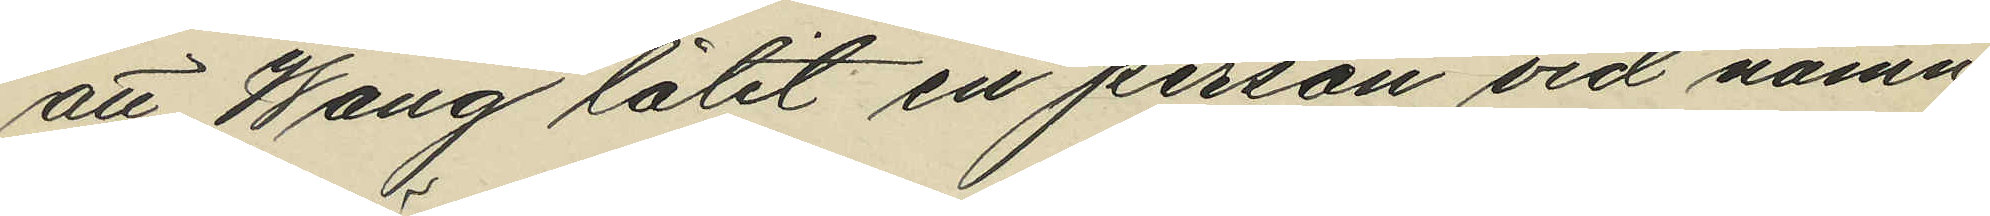att Wang låtit en person vid namn
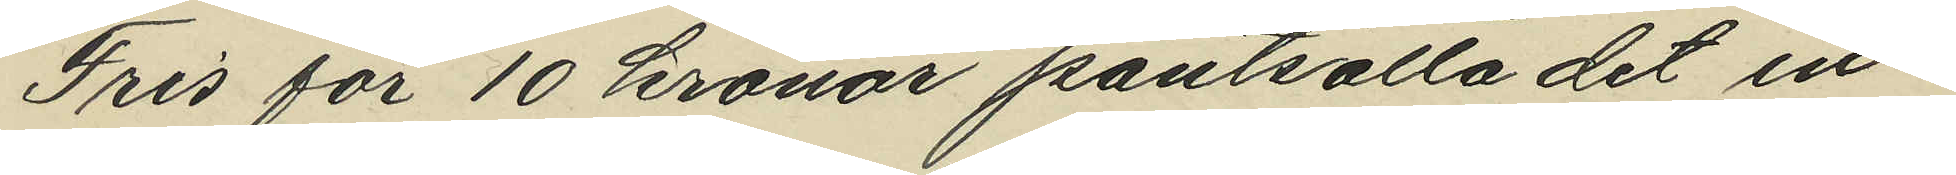Fris för 10 kronor pantsätta det in¬
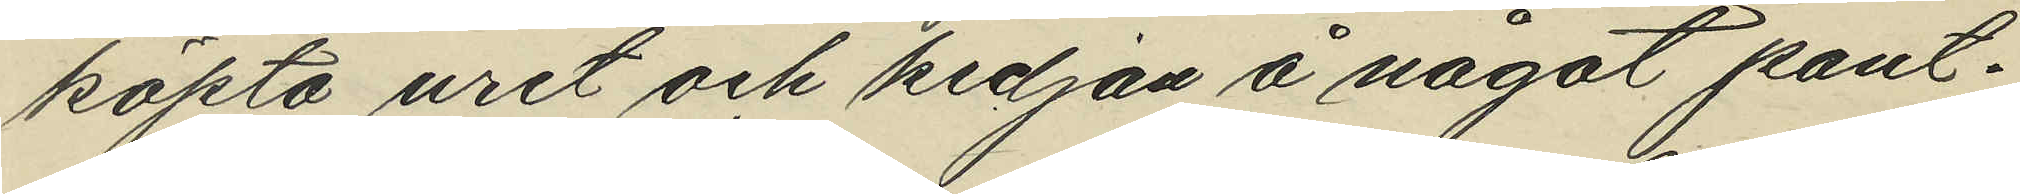köpta uret och kedjan å något pant¬
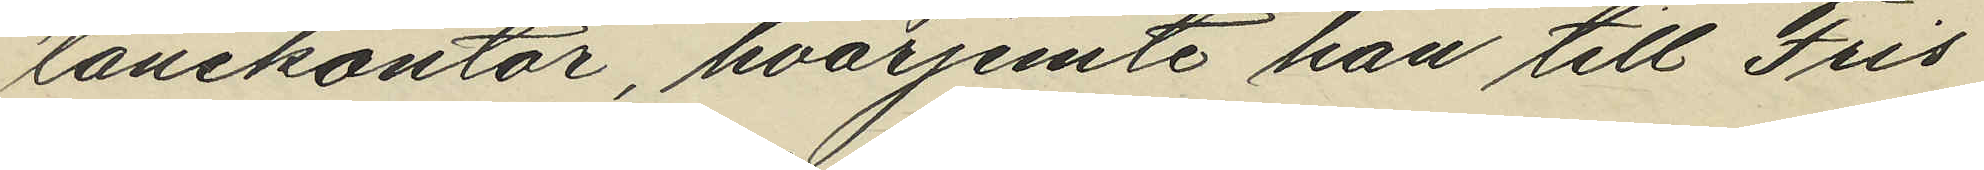lånekontor, hvarjemte han till Fris
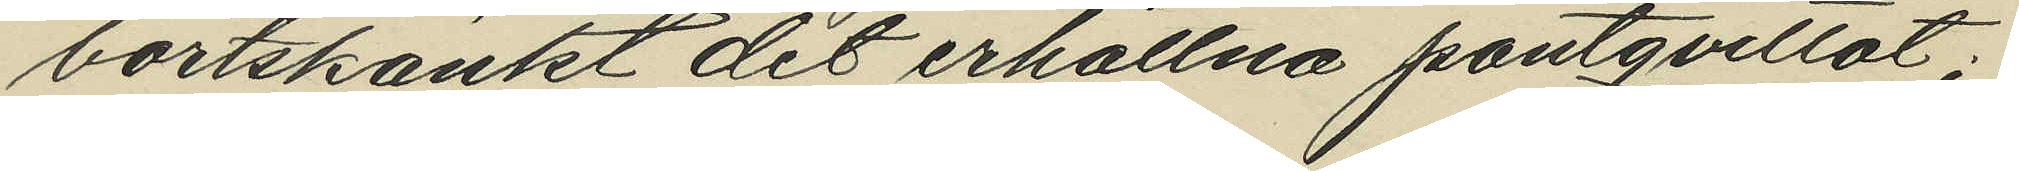bortskänkt dit erhållna pantqvittot;
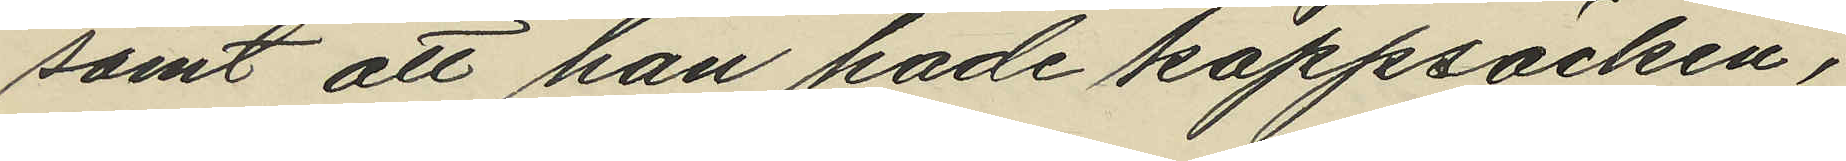samt att han hade kappsäcken,
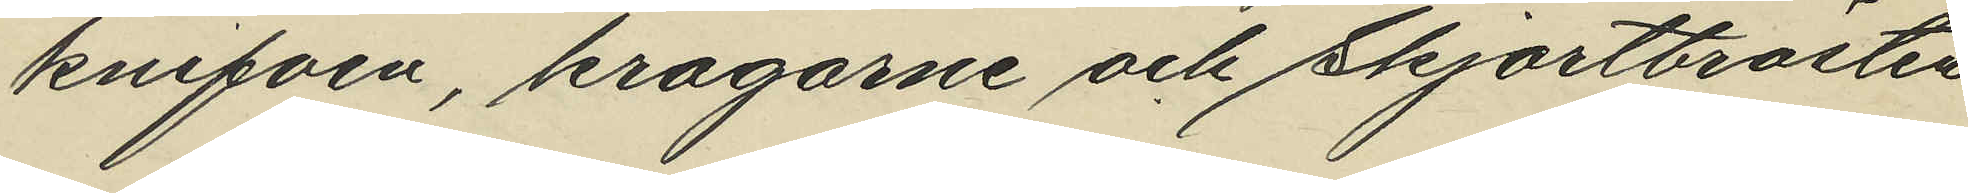knifven, kragarne och skjortbrösten
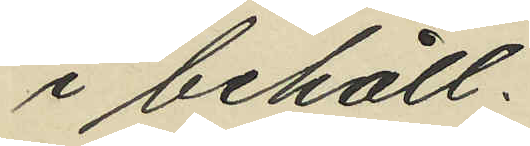i behåll.
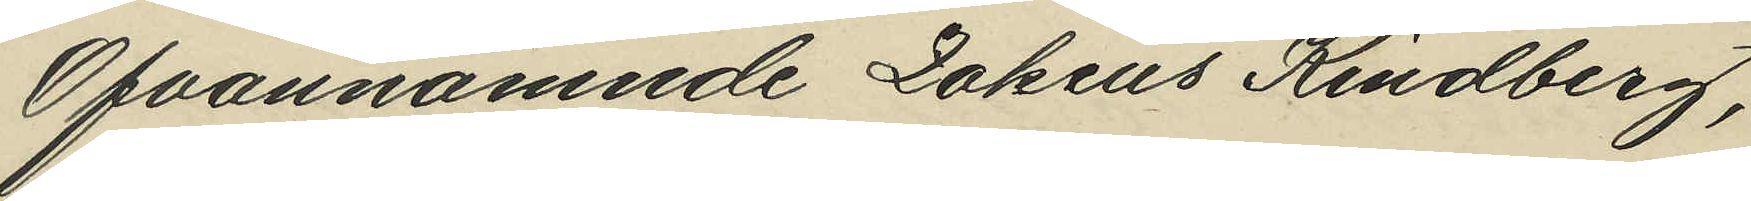Ofvannämnde Zakeus Kindberg,
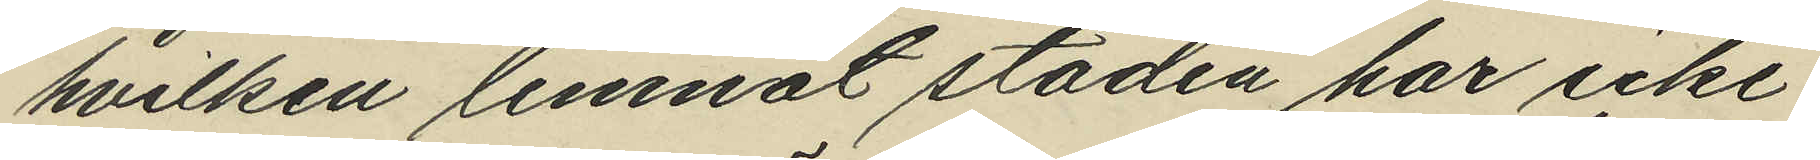hvilken lemnat staden har icke
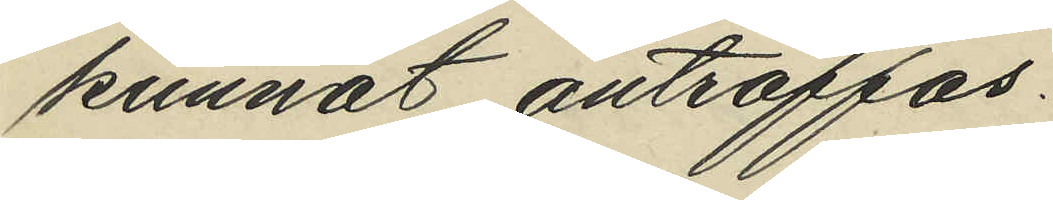kunnat anträffas.
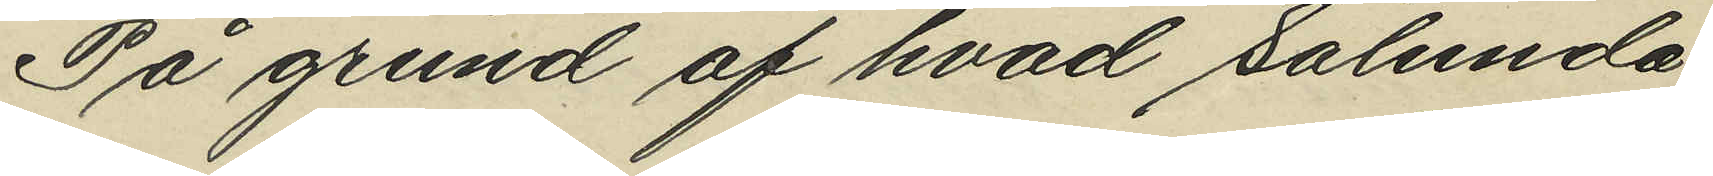På grund af hvad sålunda
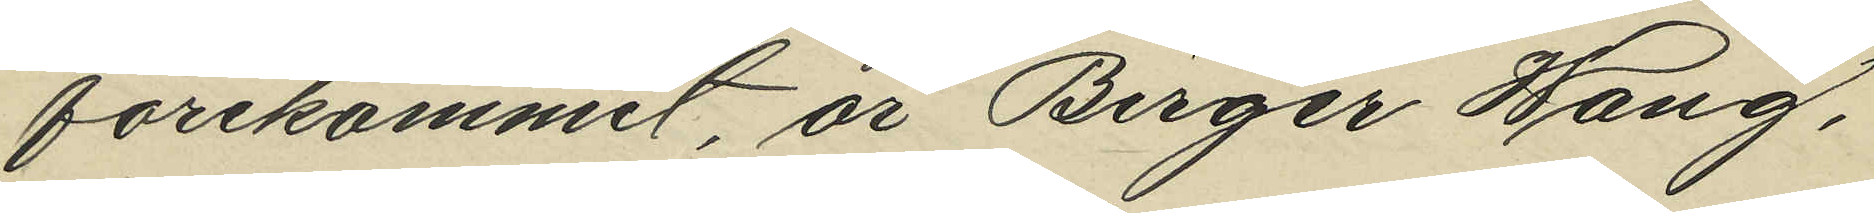förekommit, är Birger Wang,
